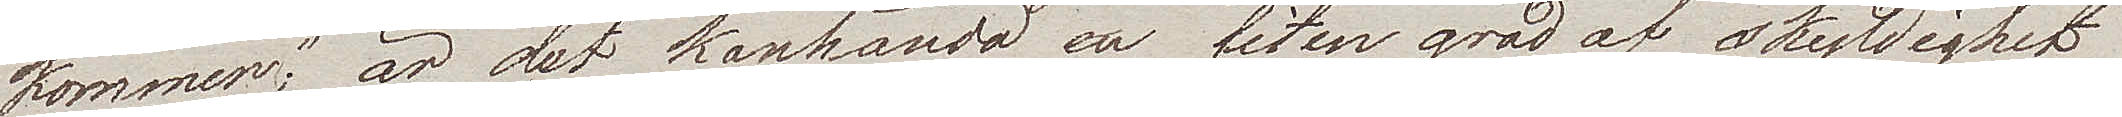kommer", är det kanhända en liten grad af skyldighet
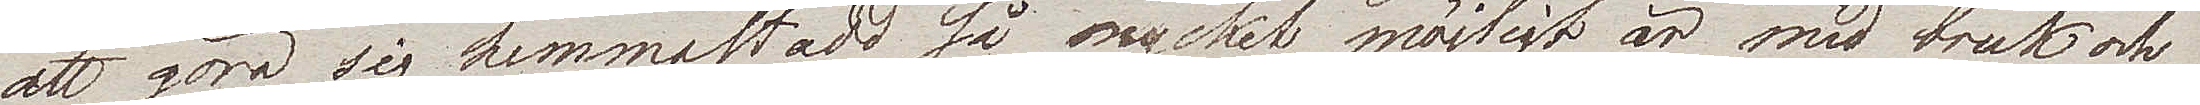att göra sig hemmastadd så mycket möjligt är med bruk och
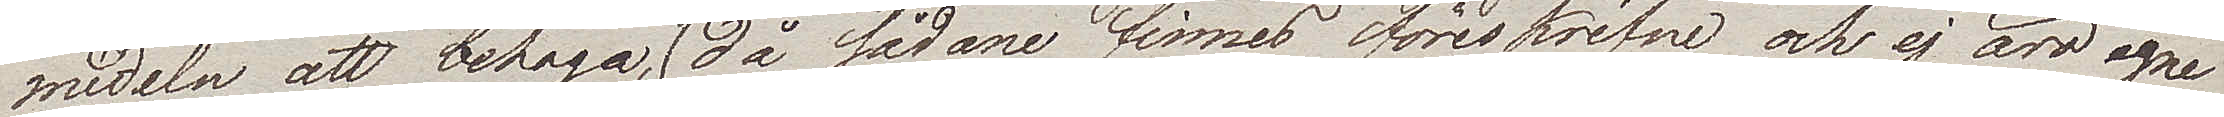medeln att behaga, (då sådane finnes föreskrifne och ej äro egna
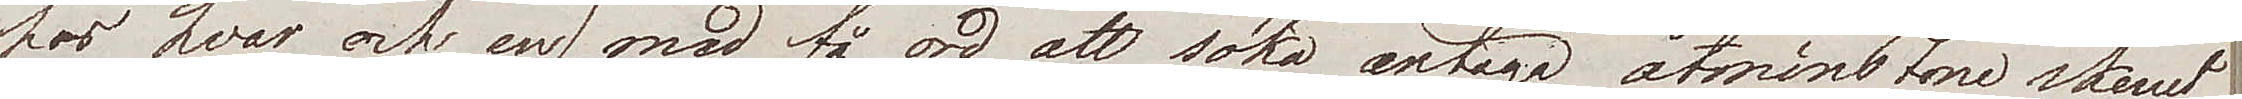hos hvar och en) med få ord att söka antaga åtminstone skenet
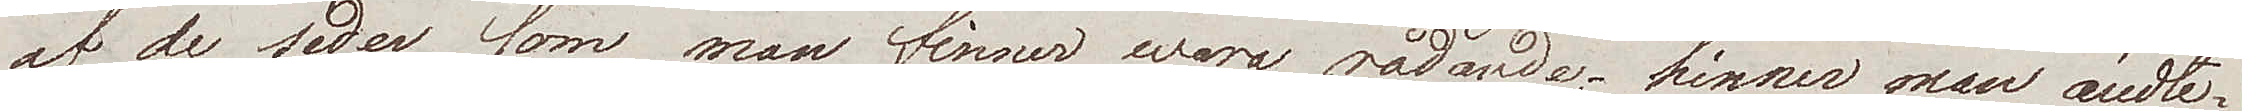af de seder som man finner wara rådande; hinner man ändte¬
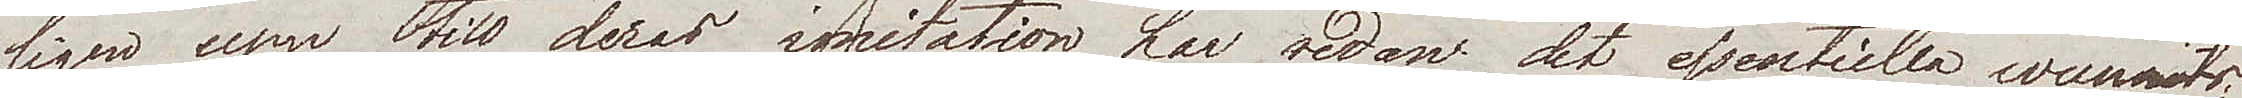ligen upp till deras imitation har redan det essentiella wunnits;
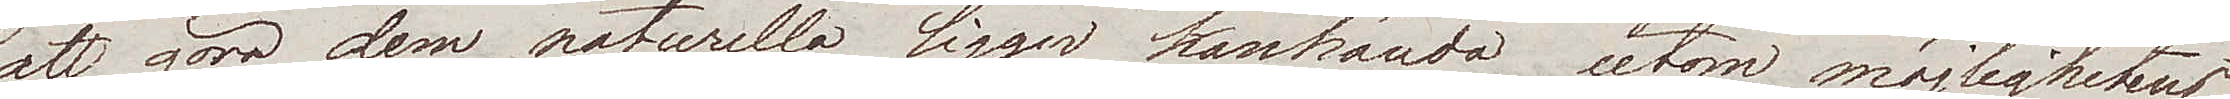att göra dem naturella ligger kanhända utom möjlighetens
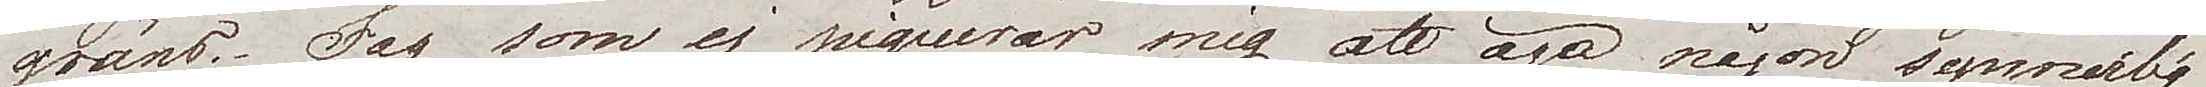gräns. Jag som ej piquerar mig att äga någon synnerlig
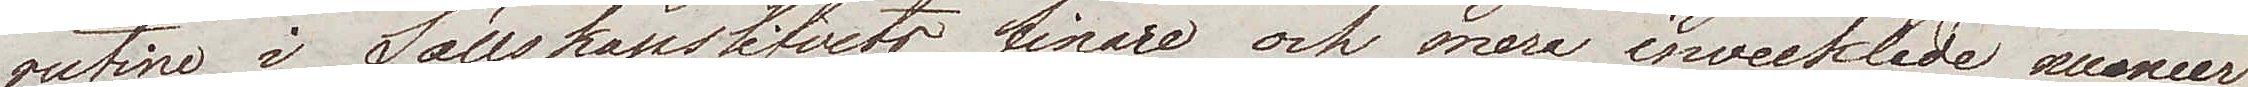rutine i Sällskapslifvets finare och mera invecklade maneer,
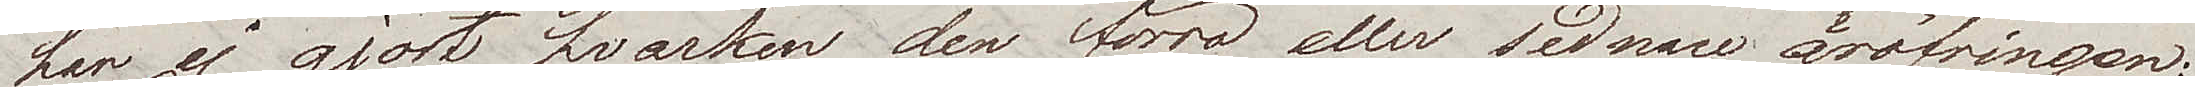har ej gjort hvarken den förra eller sednare äröfringen;
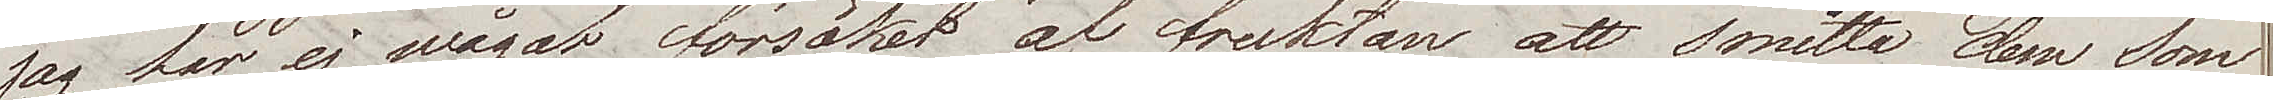jag har ej wågat försöket af fruktan att smitta dem som
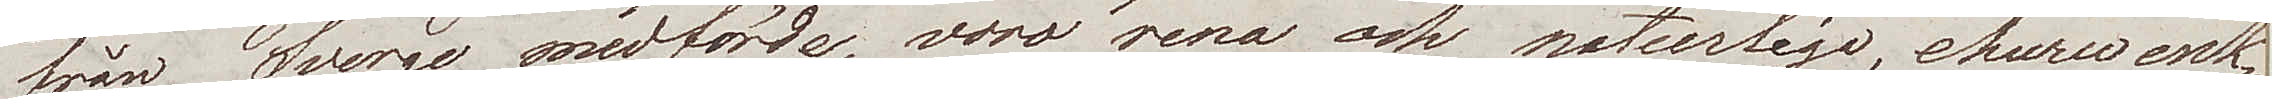från Sverige medförde, voro rena och naturliga, ehuru enk¬
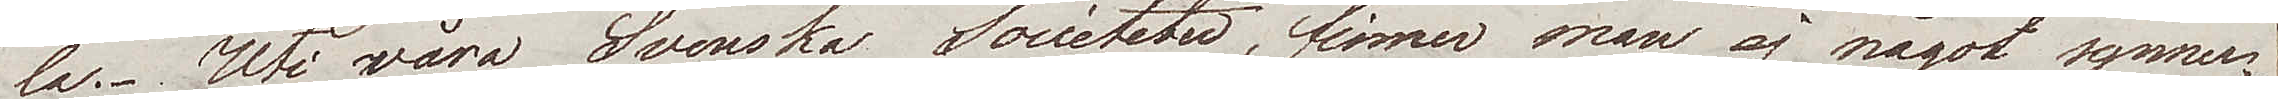la. Uti wåra Svenska Societeter, finner man ej något synner¬
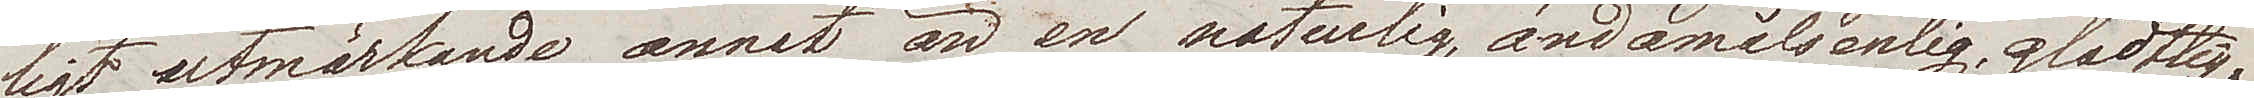ligt utmärkande annat än en naturlig, ändamålsenlig glädtig¬
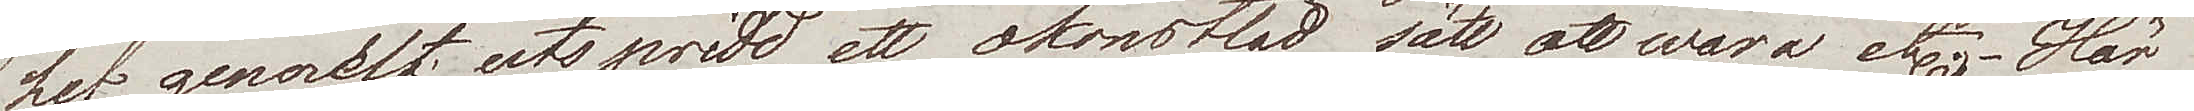het generelt utspridd, ett okonstladt sätt att wara etc. Här
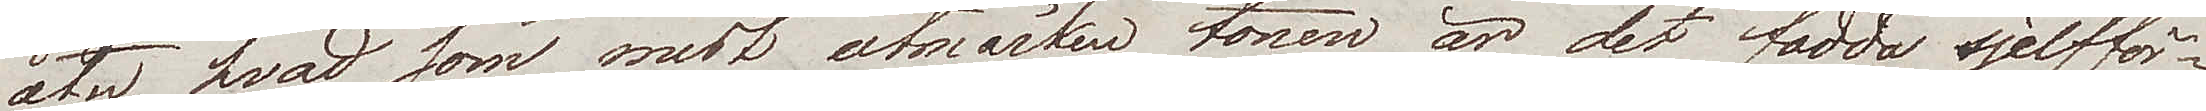åter hvad som mest utmärker tonen är det fadda sjelfför¬
